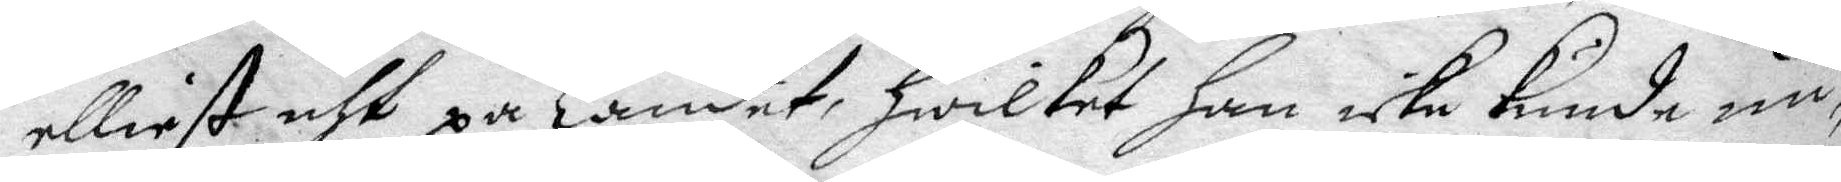elliest uth på Landet, hwilket han icke kunde un¬
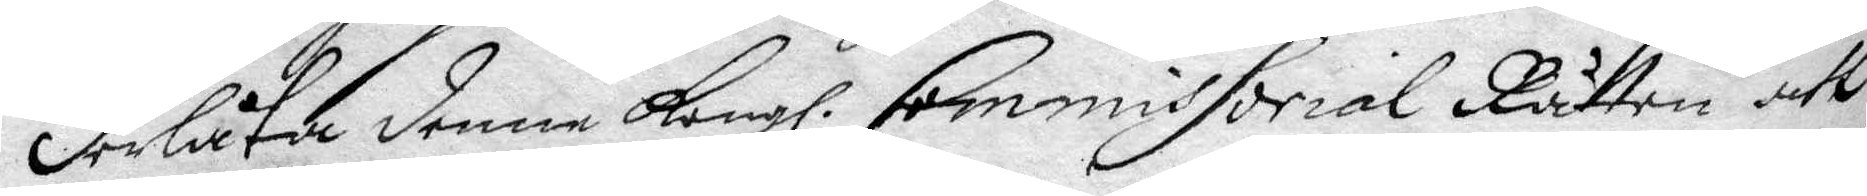derlåta denne Kongl. Commissorial Rätten att
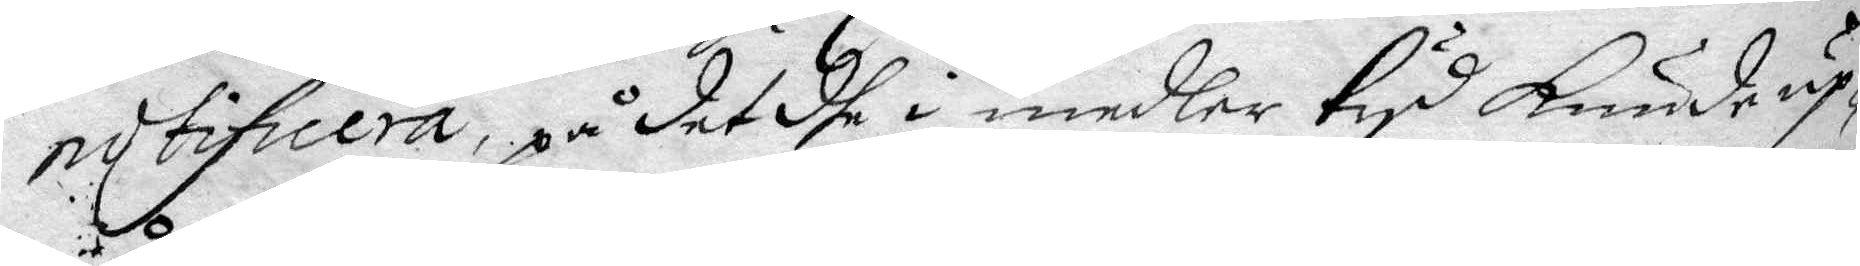notifiera, på det dhe i medler tyd kunde up¬
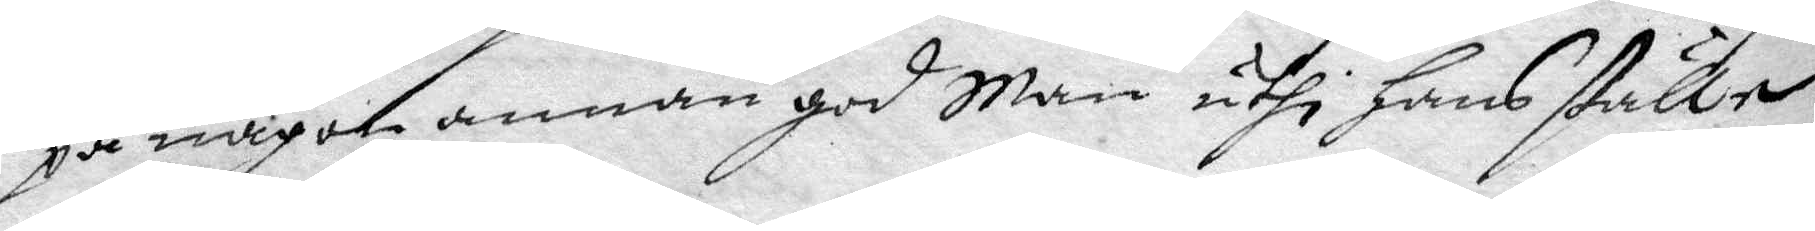på någon annan god Man uthi hans ställe
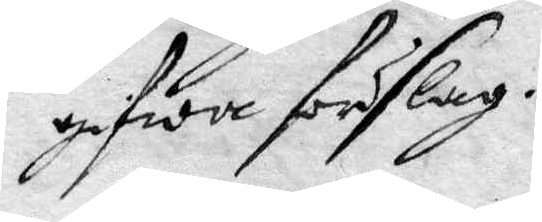gifwa förslag.
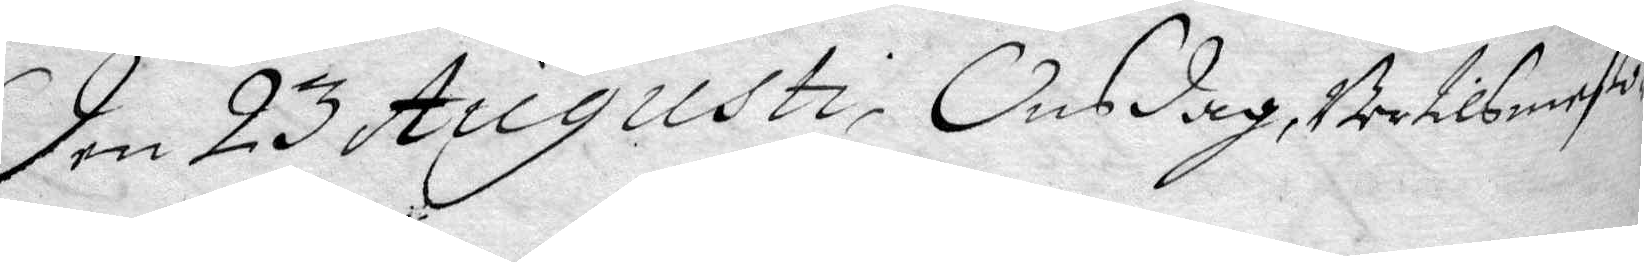Den 23 Augusti, Onsdag, bertilsmeßo¬
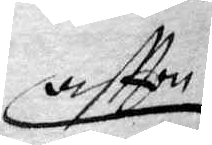aftton
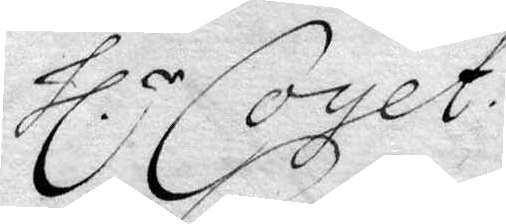hl.r Coyet.
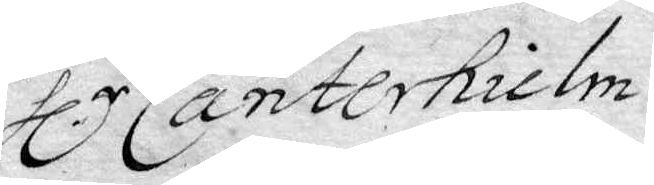hl.r Canterhielm
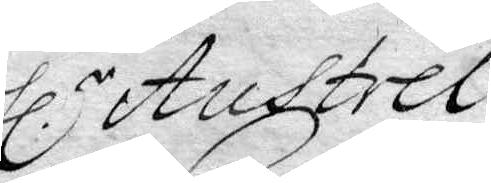hl.r Austrel
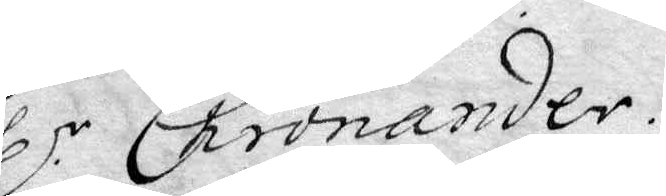hl.r Chronander.
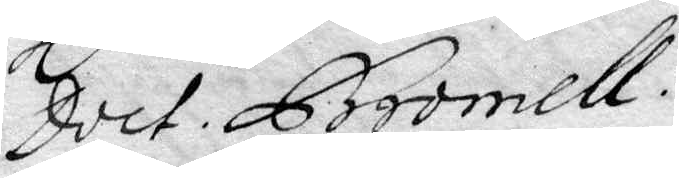Doct. Bromell.
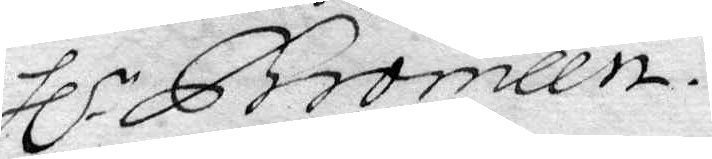hl.r Bromeen.
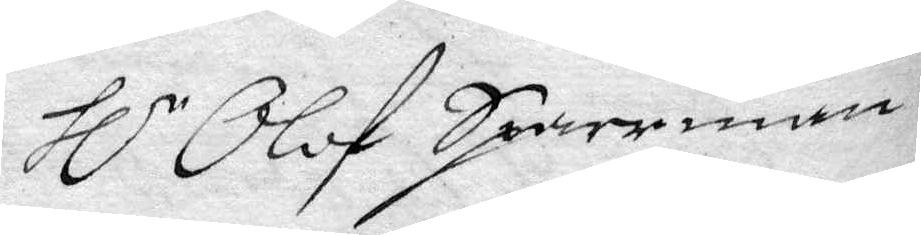hl.r Olof Sparrman.
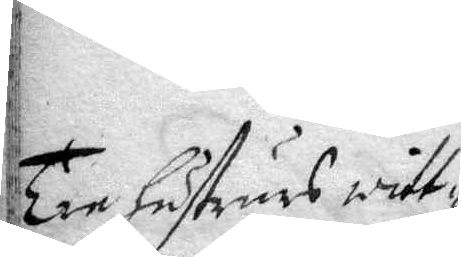Tre hustrurs witt¬
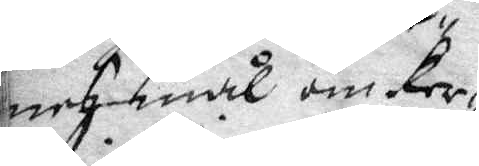nesmål om Ker¬
